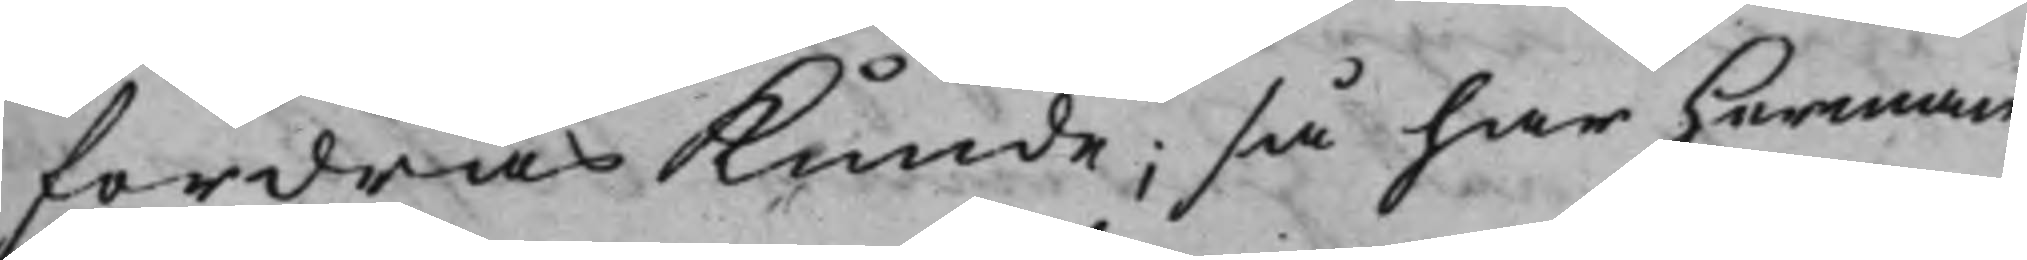fordras Kunde, så har Herman
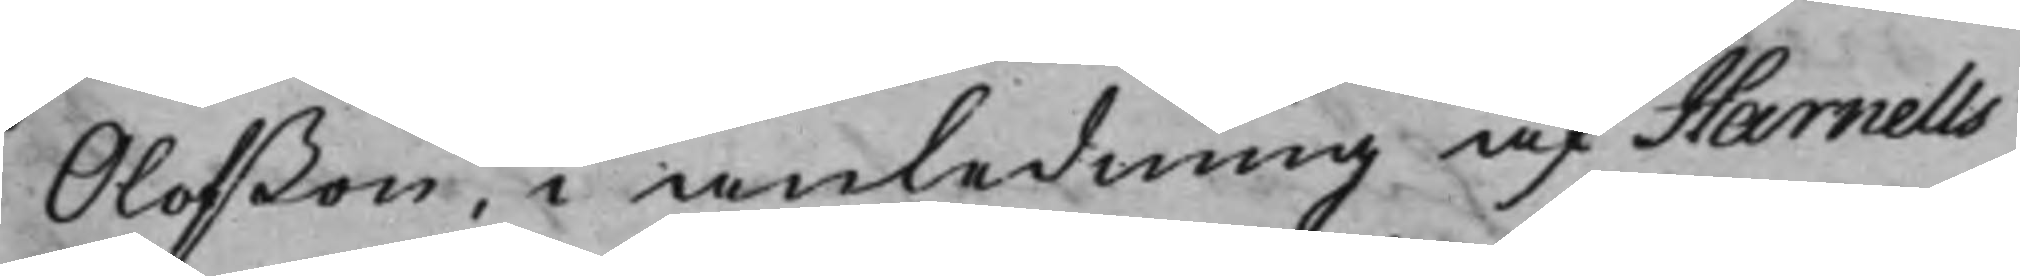Olofßon, i anledning af Harnells
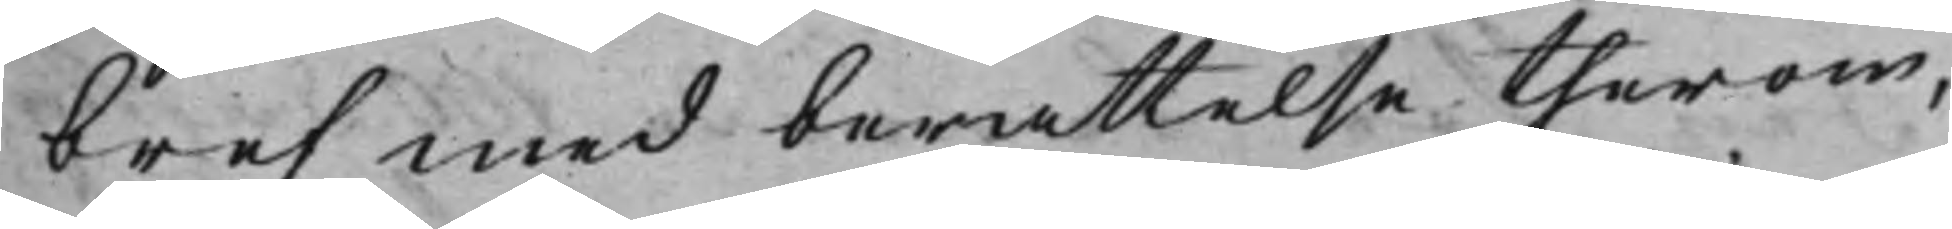bref med berattelse therom,
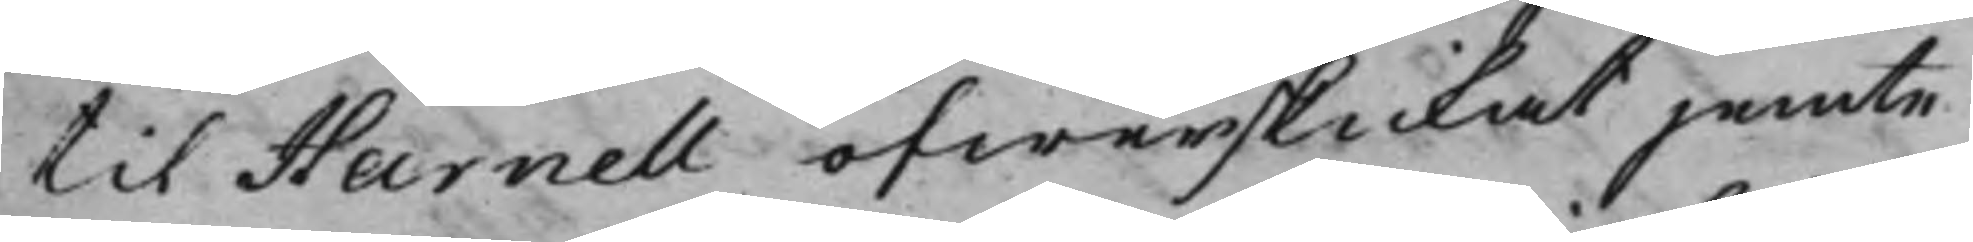til Harnell öfwerskickat jemte
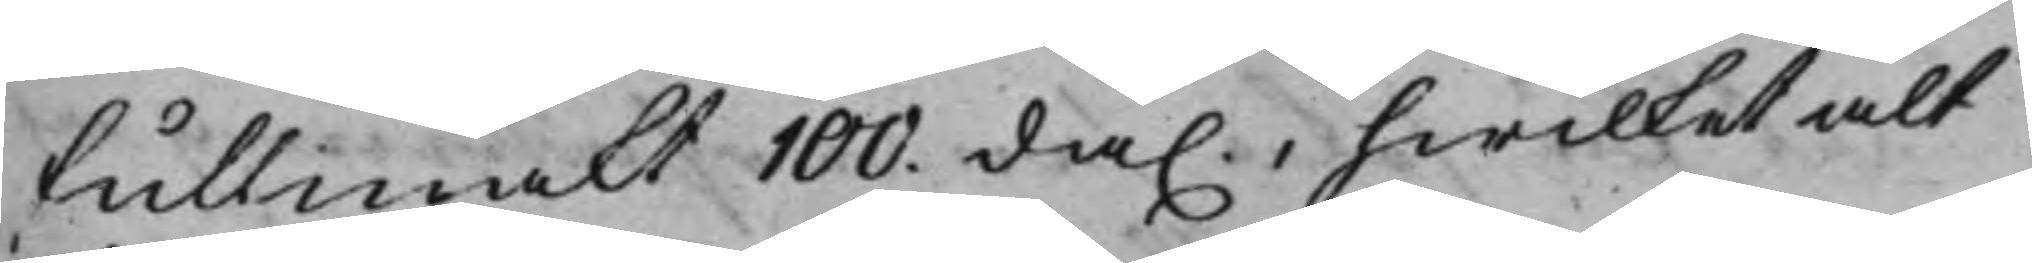fullmakt 100 da., hwilket alt
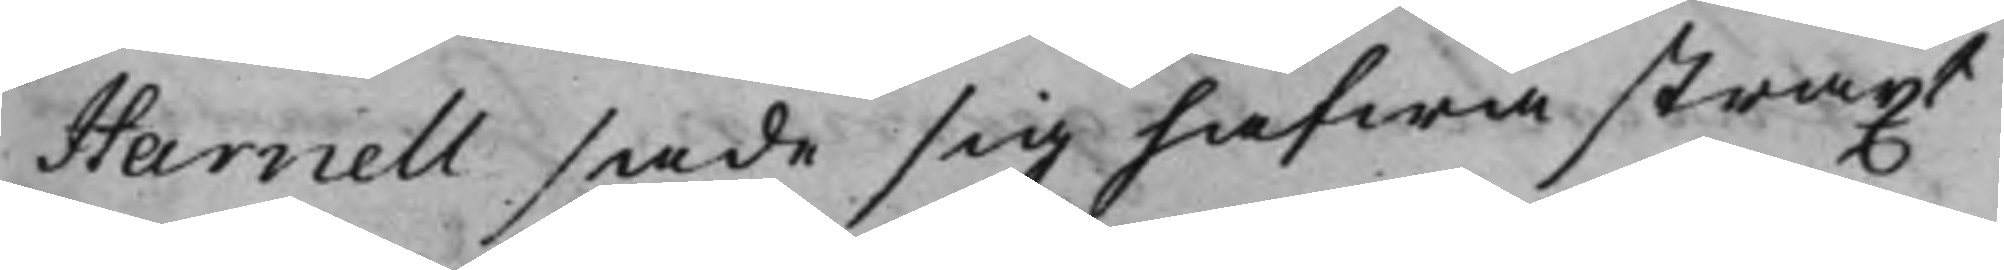Harnell sade sig hafwa straxt
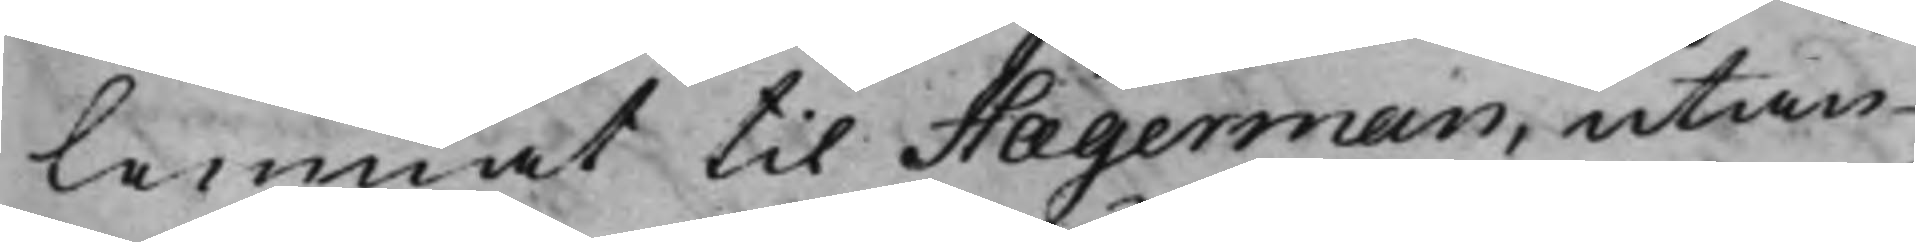lemnat til Hægerman, utan
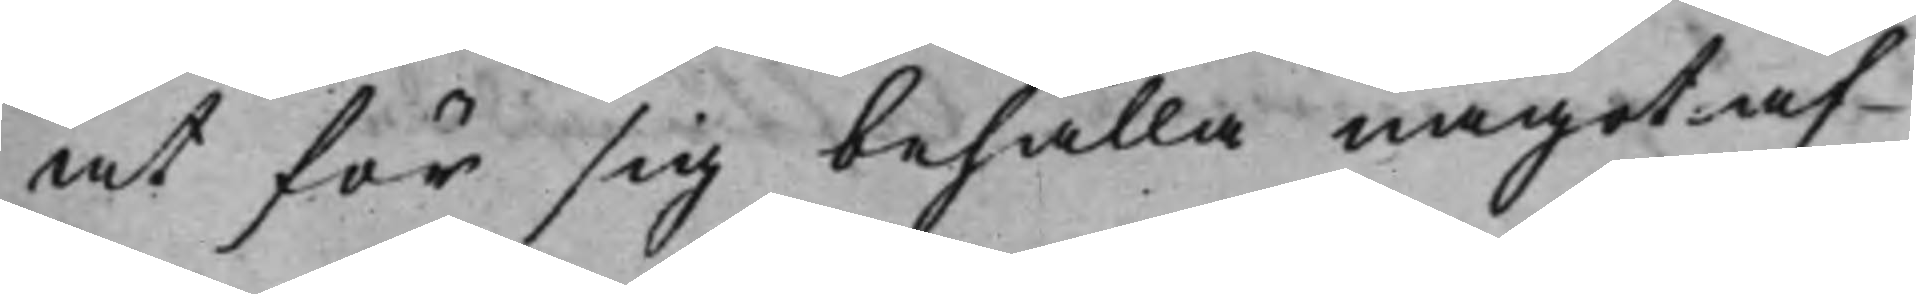at för sig behålla något af
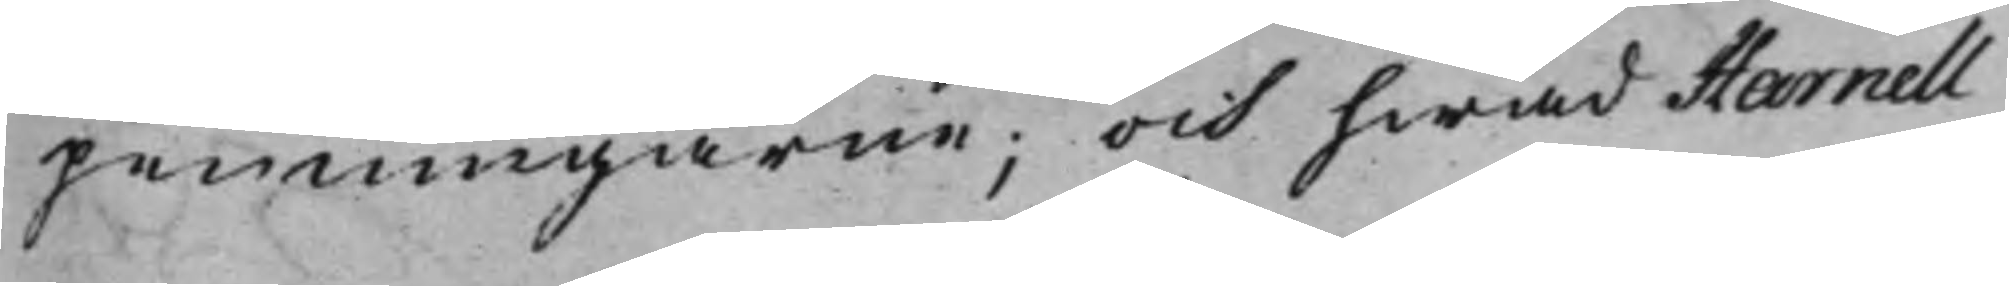penningarne; och hwad Harnell
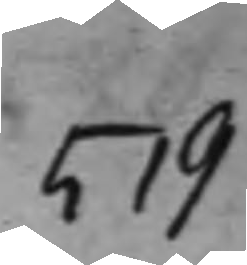519
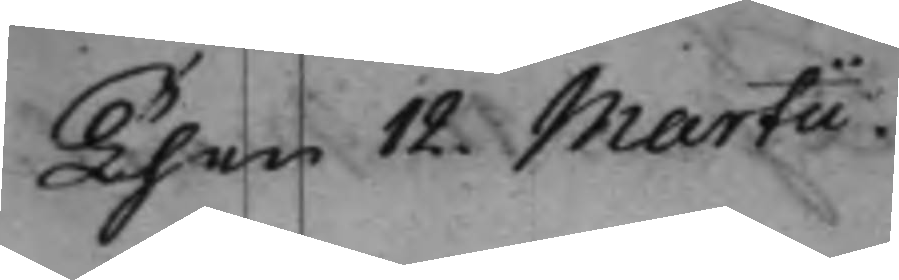Then 12 Martii.
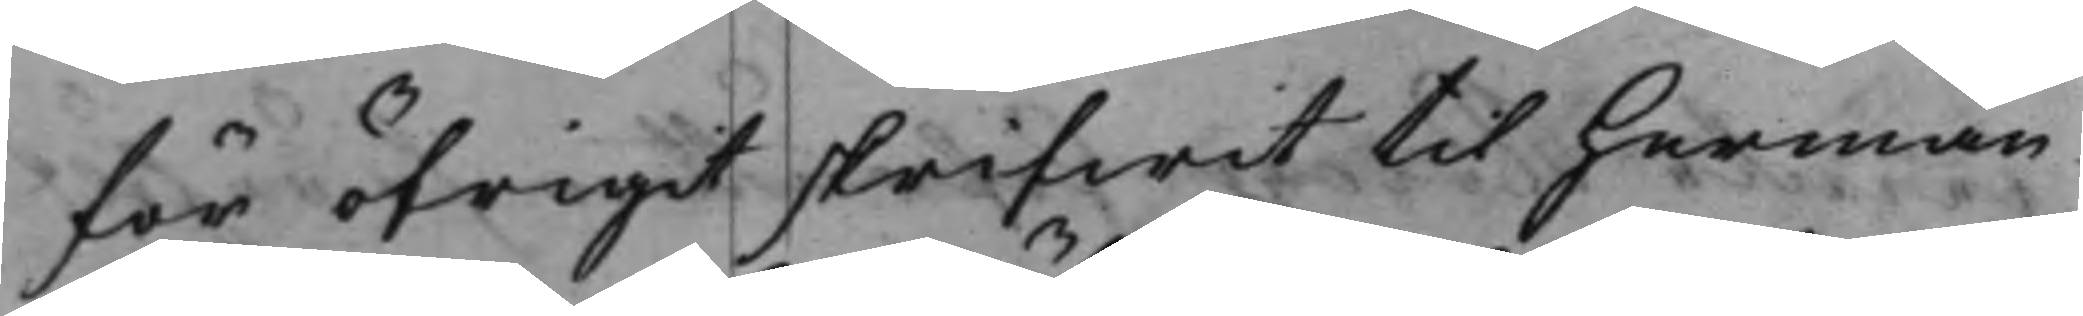för öfrigit skrifwit til Herman
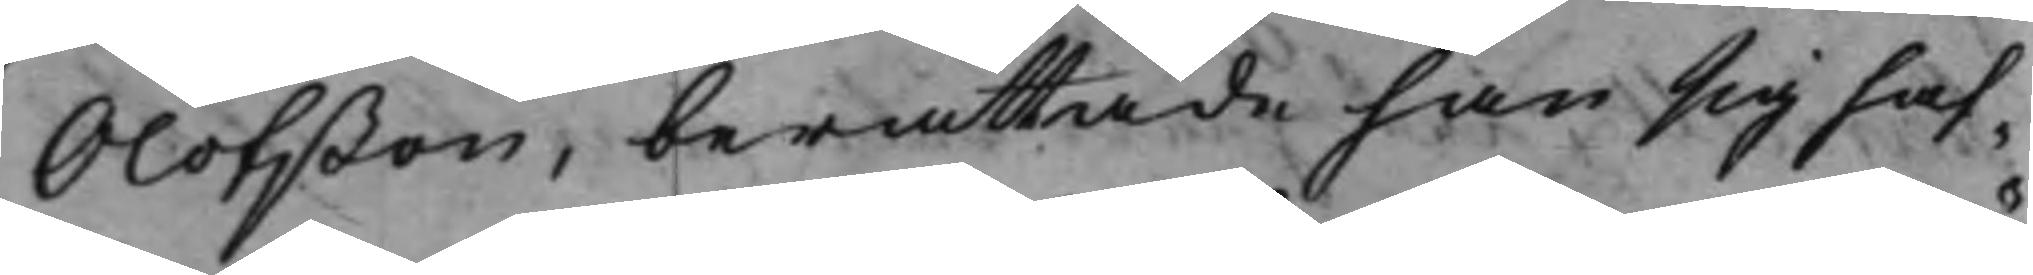Olofßon, berättade han sig haf¬
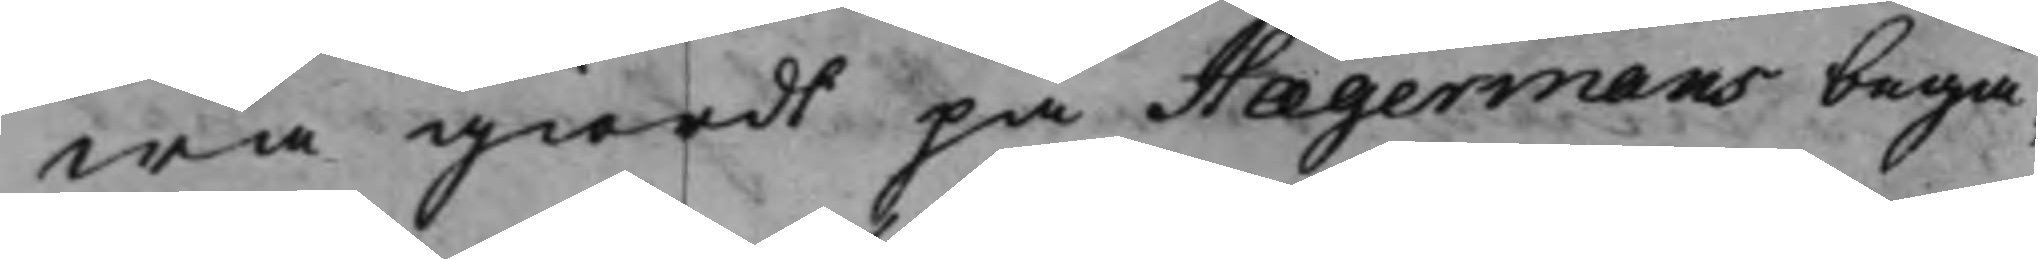wa giordt på Hægermans begä¬
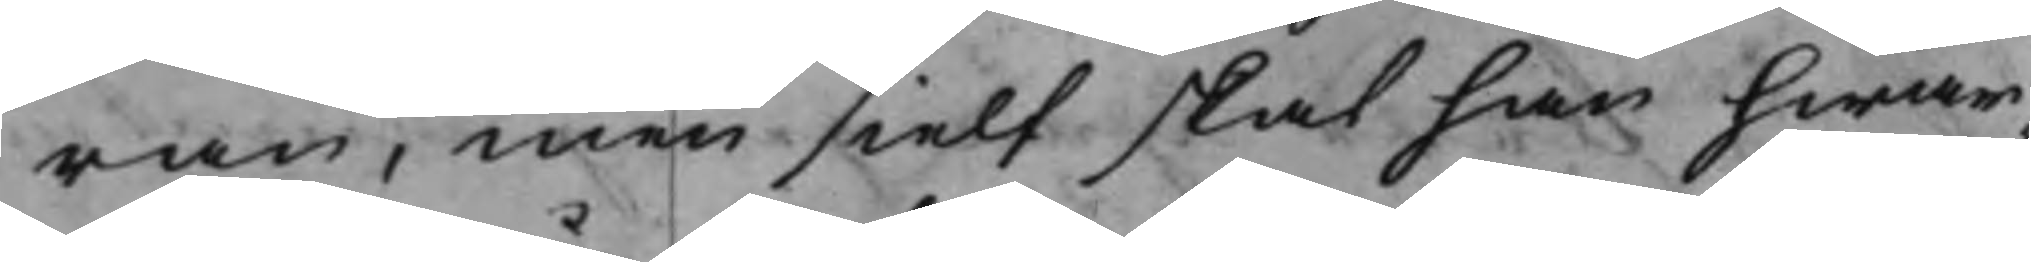ran, men sielf skal han hwar¬
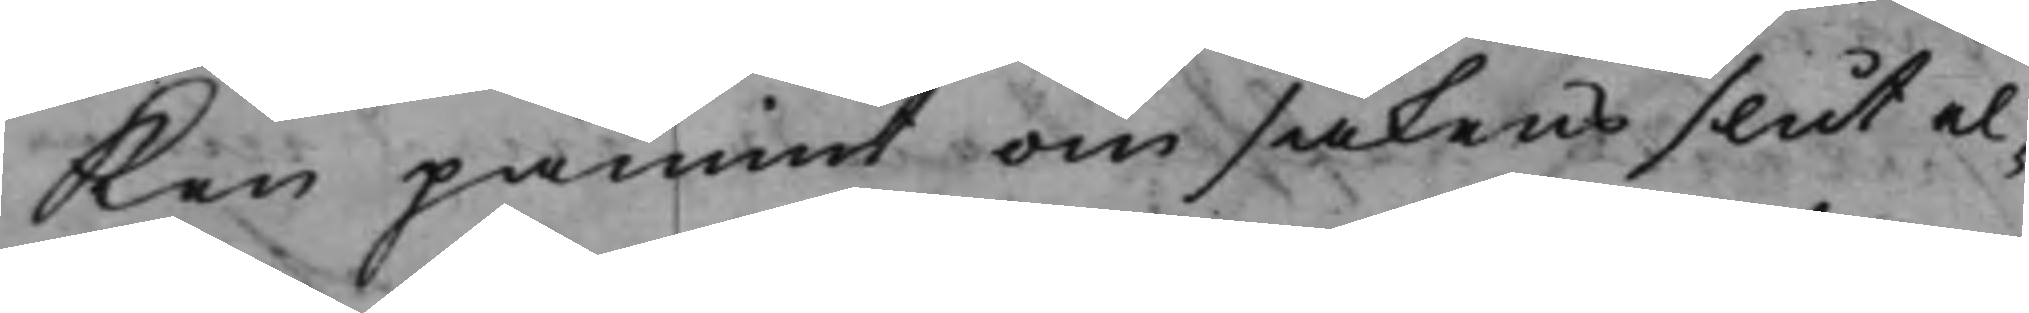Ken påmint om sakens slut el¬
